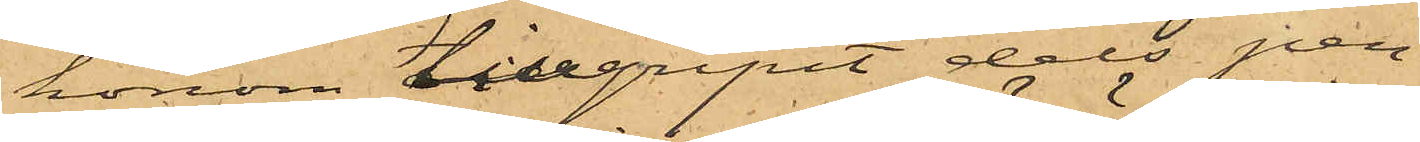honom tillgripit dels pen¬
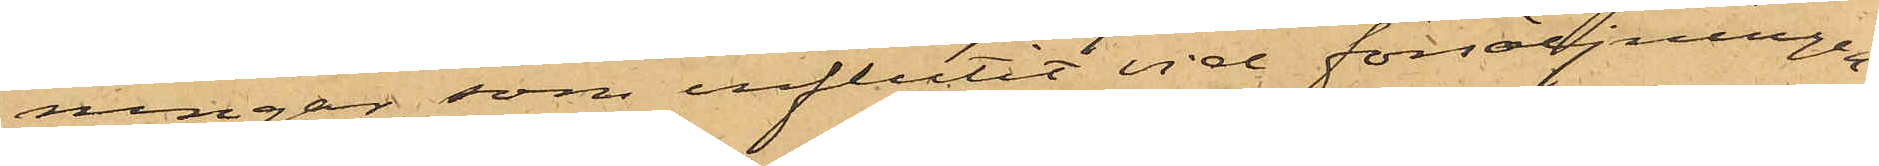ningar, som influtit vid försäljningen,
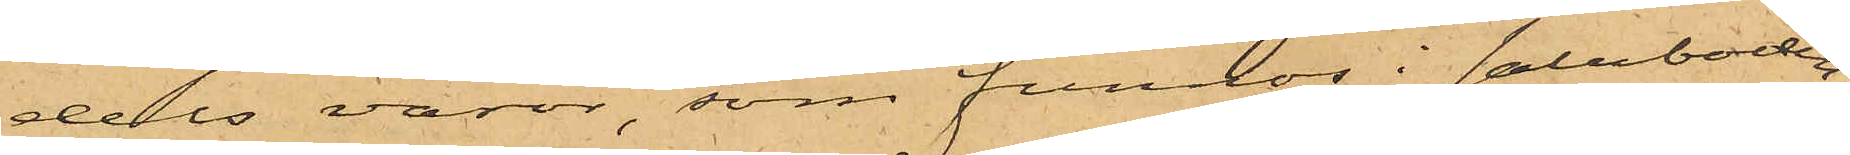dels varor, som funnos i saluboden;
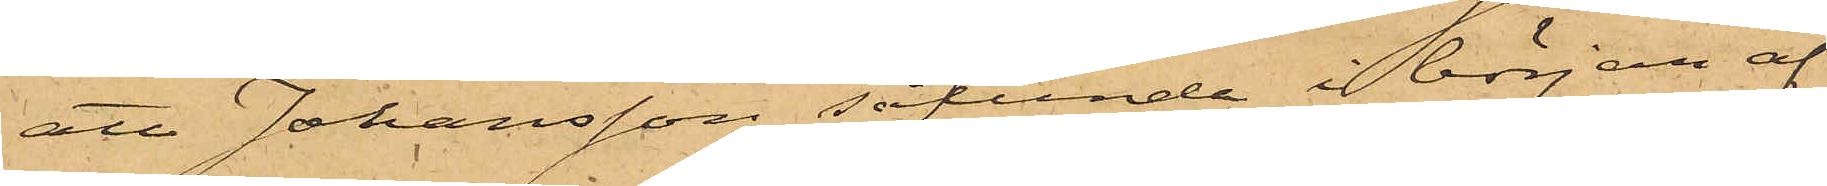att Johansson sålunda i början af
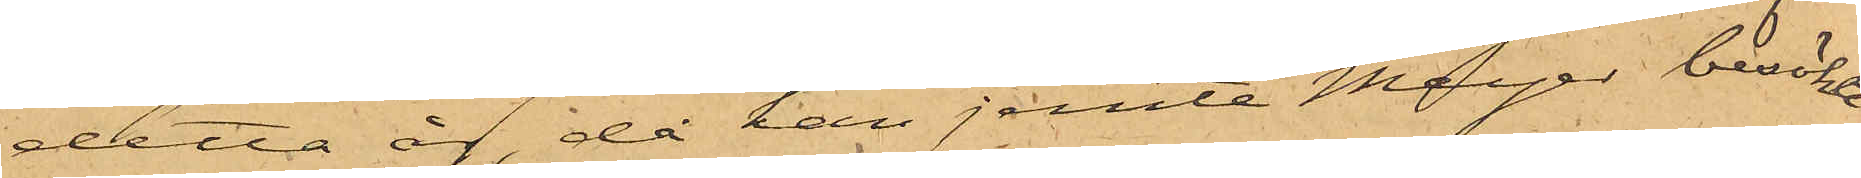detta år, då han jemte Meyer besökte
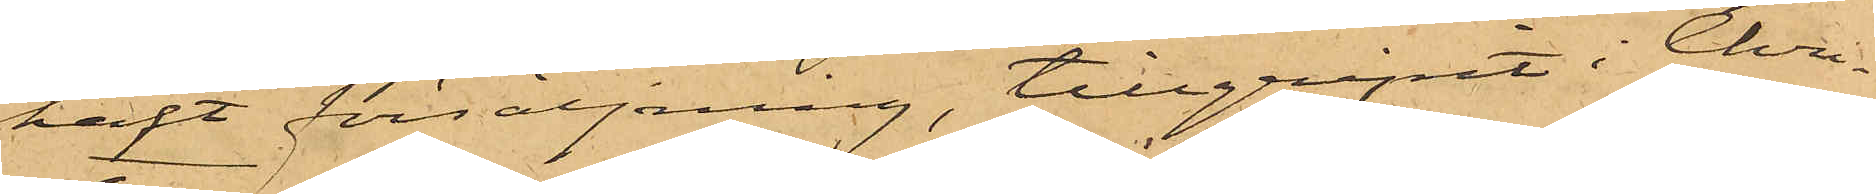haft försäljning, tillgripit i Chri¬
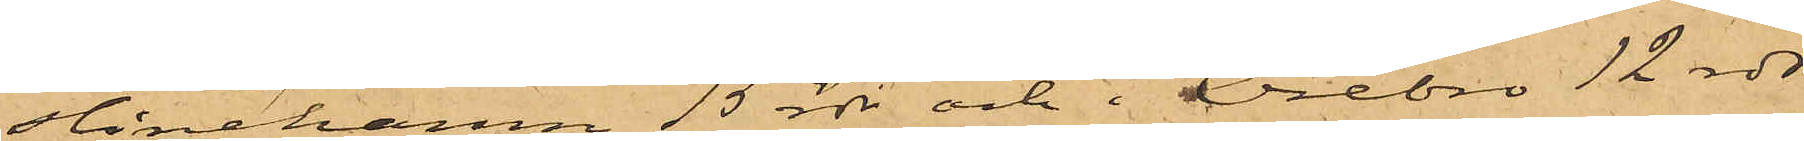stinehamn 15 rdr och i Örebro 12 rdr
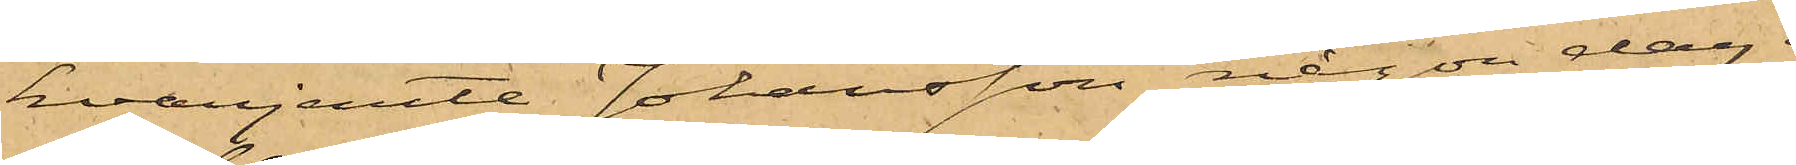hvarjemte Johansson någon dag i
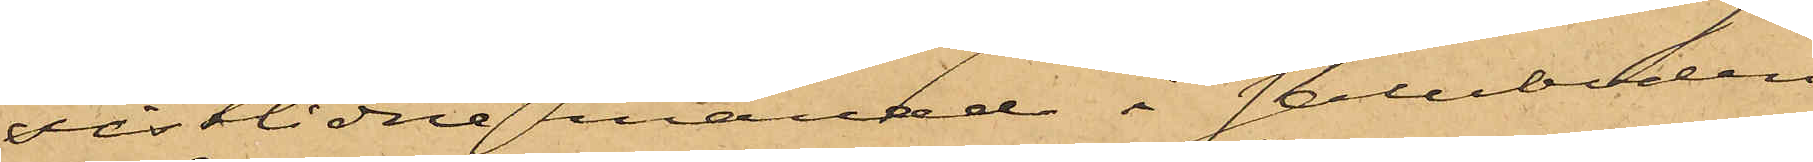sistlidne månad i saluboden
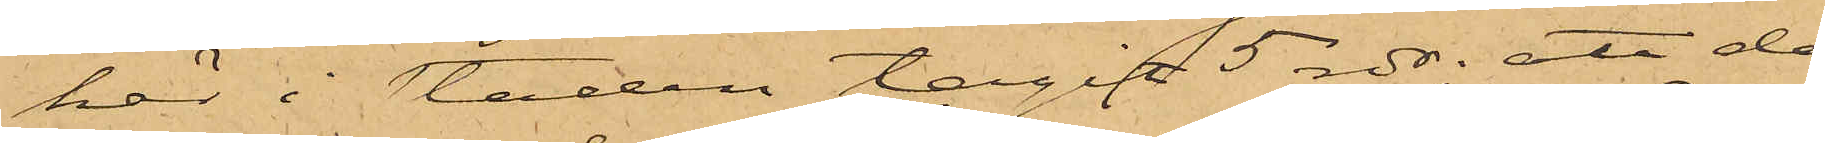här i staden tagit 5 rdr; att då
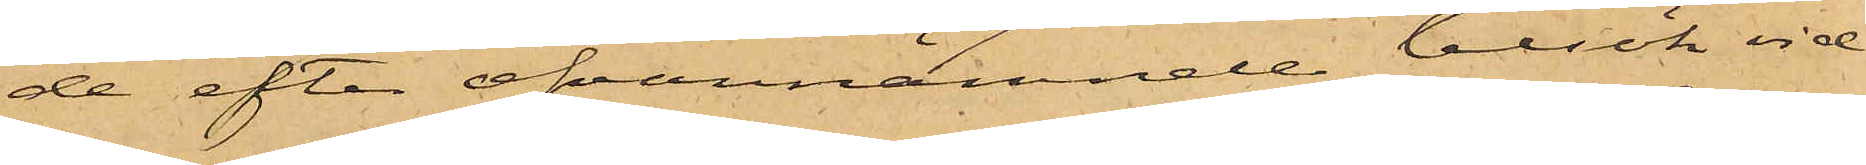de efter ofvannämnde besök vid
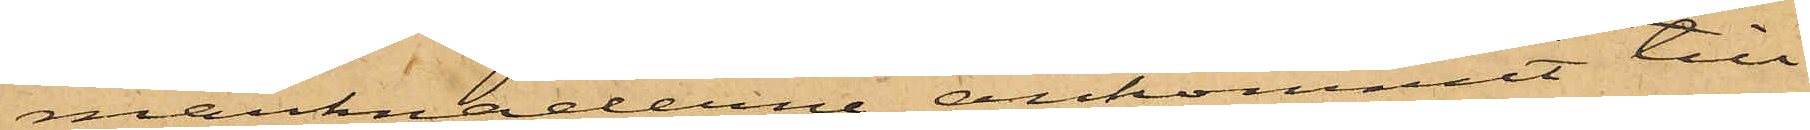marknaderna ankommit till
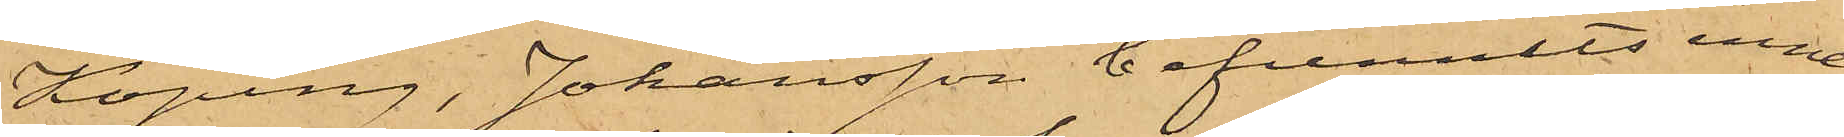Köping, Johansson befunnits inne¬
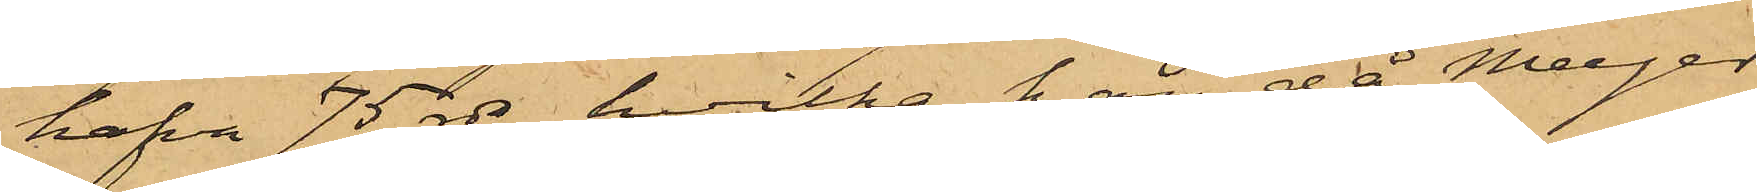hafva 75 rdr, hvilka han, då Meyer
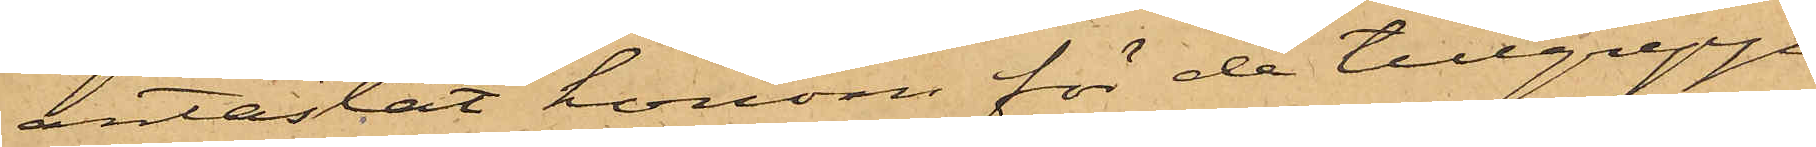antastat honom för de tillgrepp
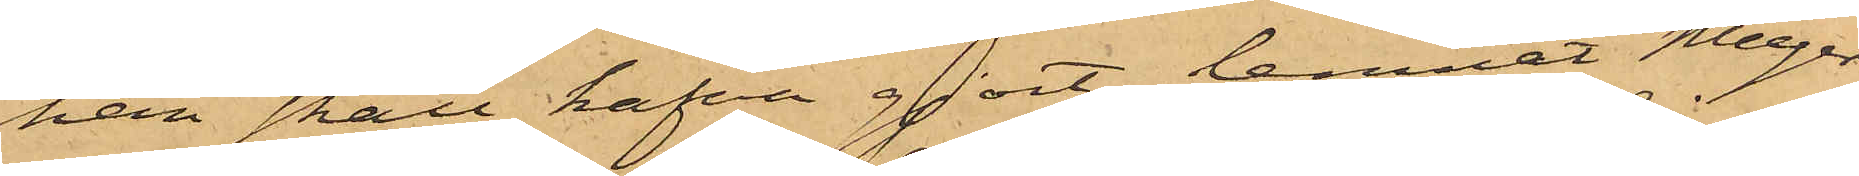han skall hafva gjort, lemnat Meyer
